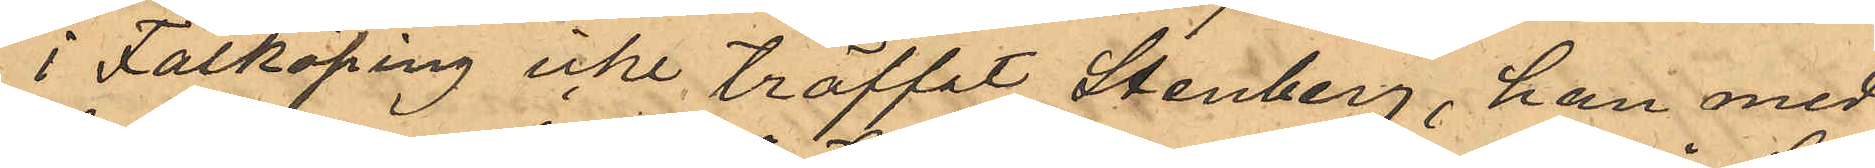i Falköping icke träffat Stenberg, han med¬
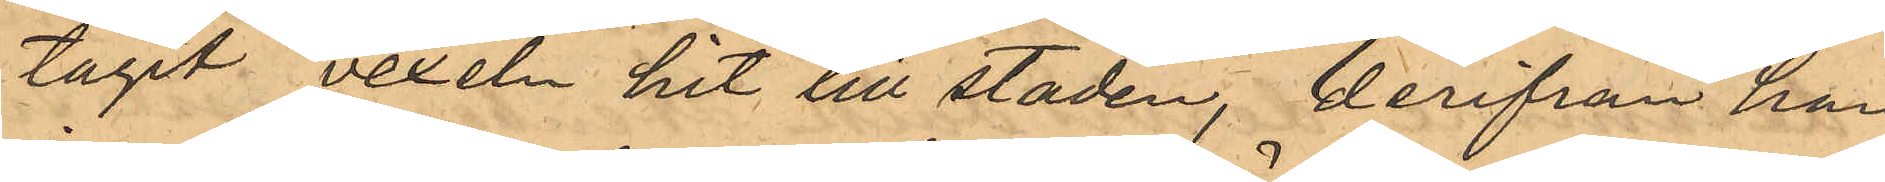tagit vexeln hit till staden, derifrån han
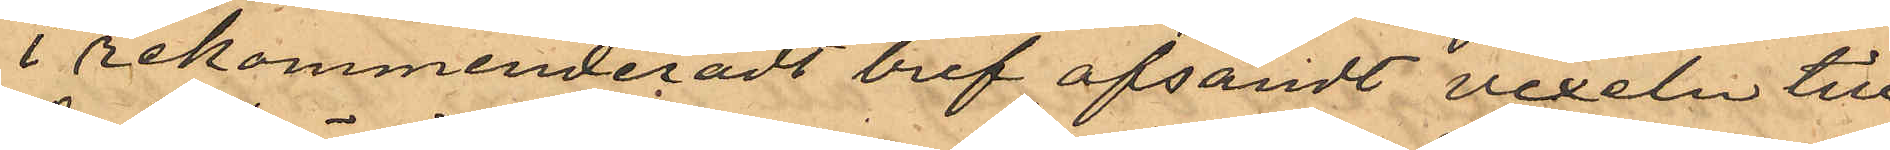i rekommenderadt bref afsändt vexeln till
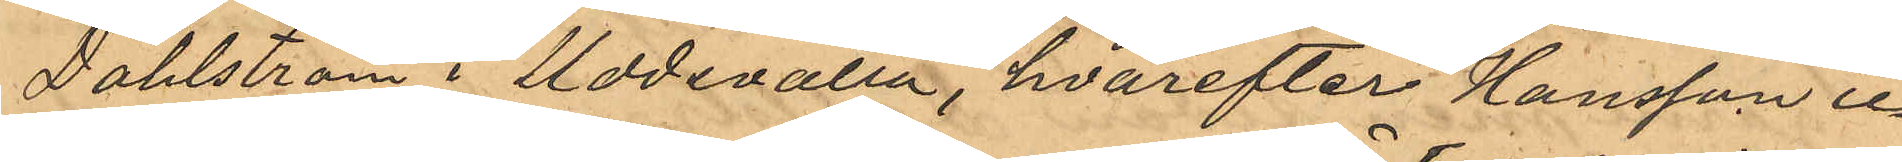Dahlström i Uddevalla, hvarefter Hansson ic¬
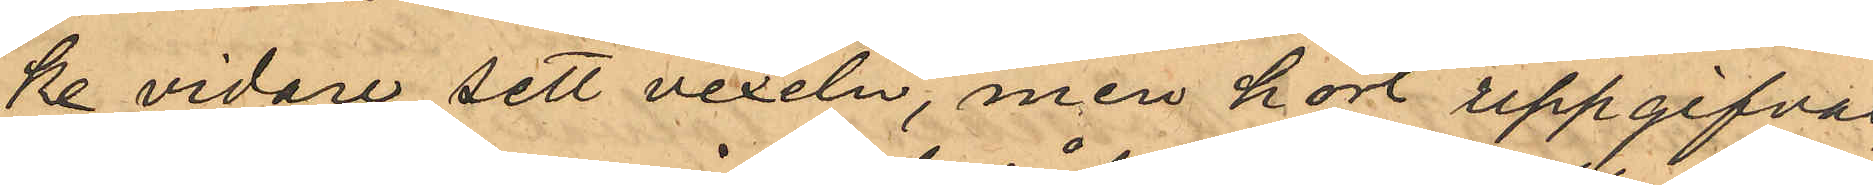ke vidare sett vexeln, men kort uppgifvas,
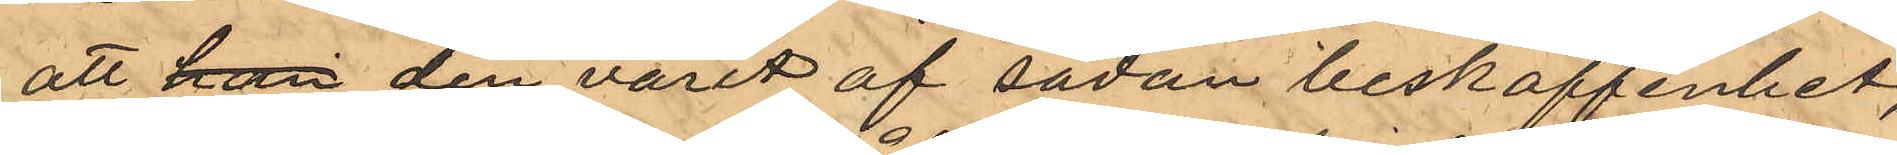att han den varit af sådan beskaffenhet,
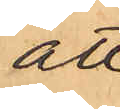att
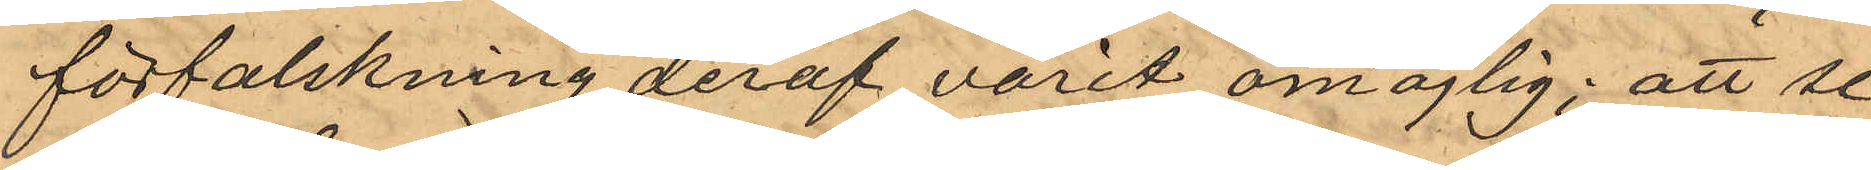förfalskning deraf varit omöjlig; att se¬
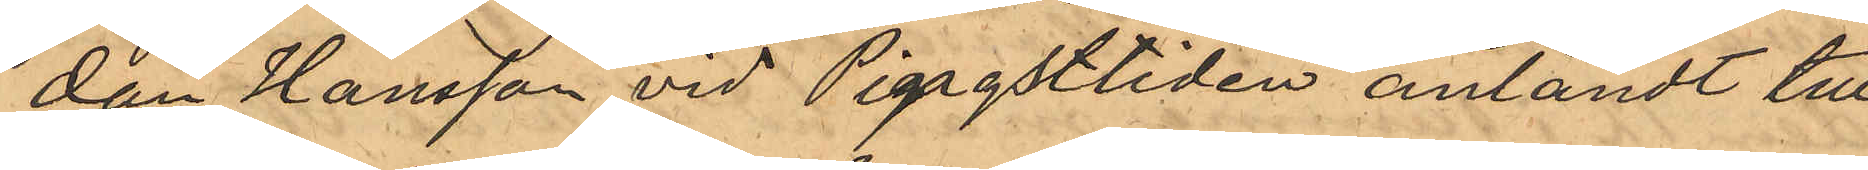dan Hansson vid Pingsttiden anländt till
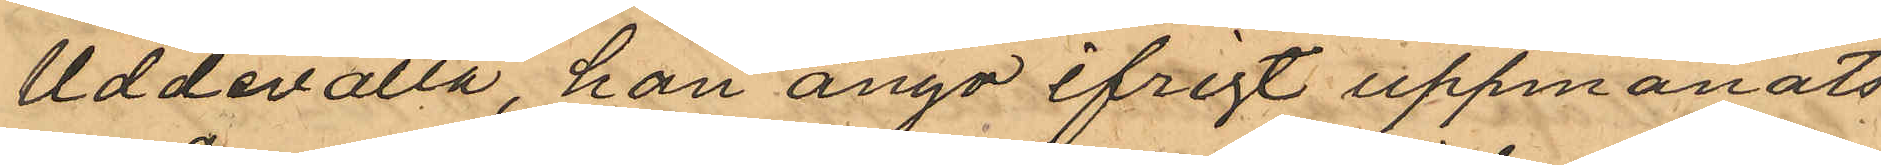Uddevalla, han ånyo ifrigt uppmanats
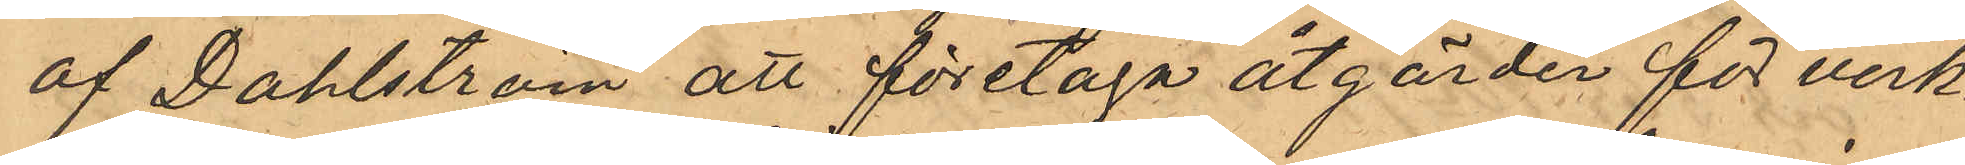af Dahlström att företaga åtgärder för verk¬
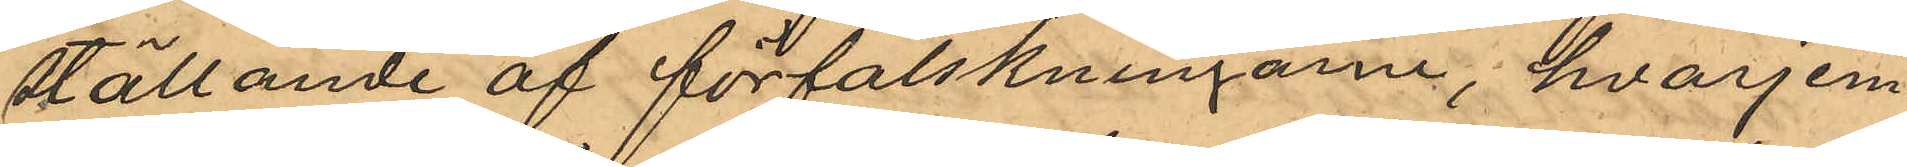ställande af förfalskningarne, hvarjem¬
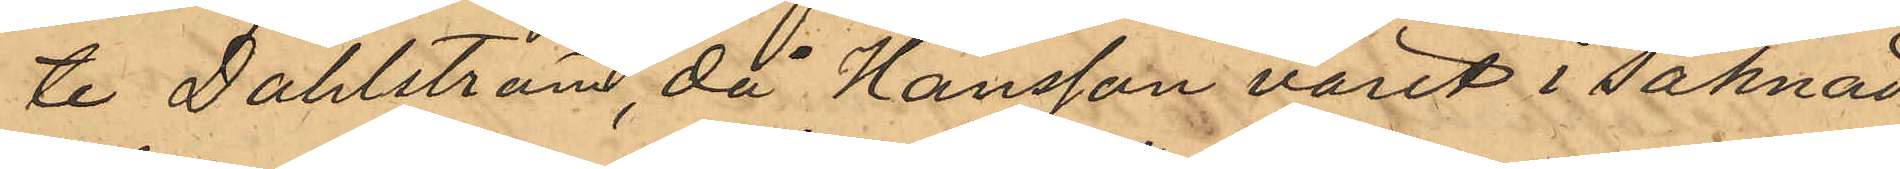te Dahlström, då Hansson varit i saknad
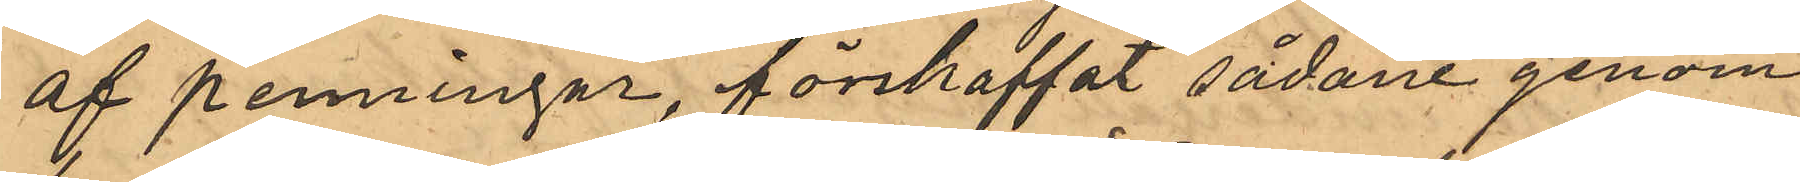af penningar, försträffat sådane genom
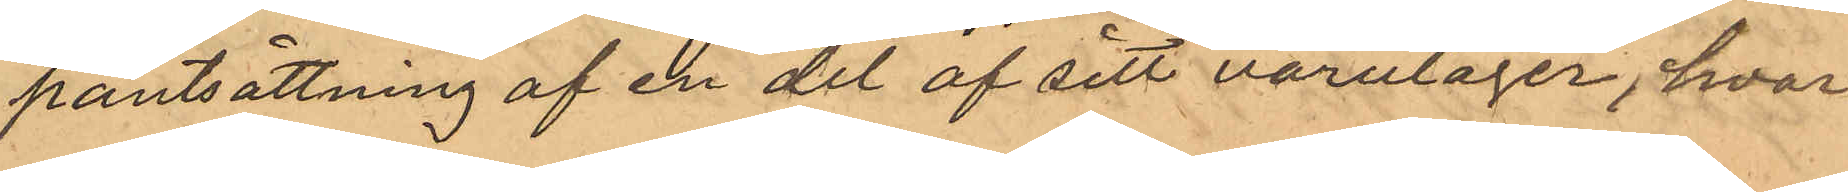pantsättning af en del af sitt varulager, hvar¬
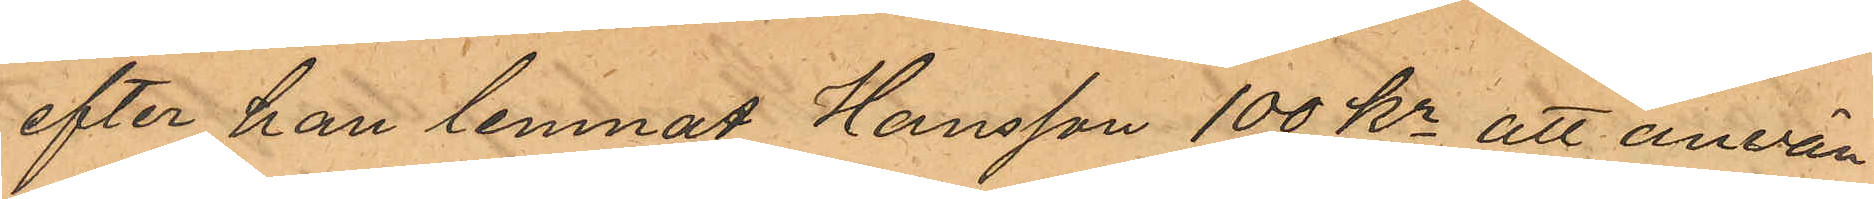efter han lemnat Hansson 100 Kr att använ¬
